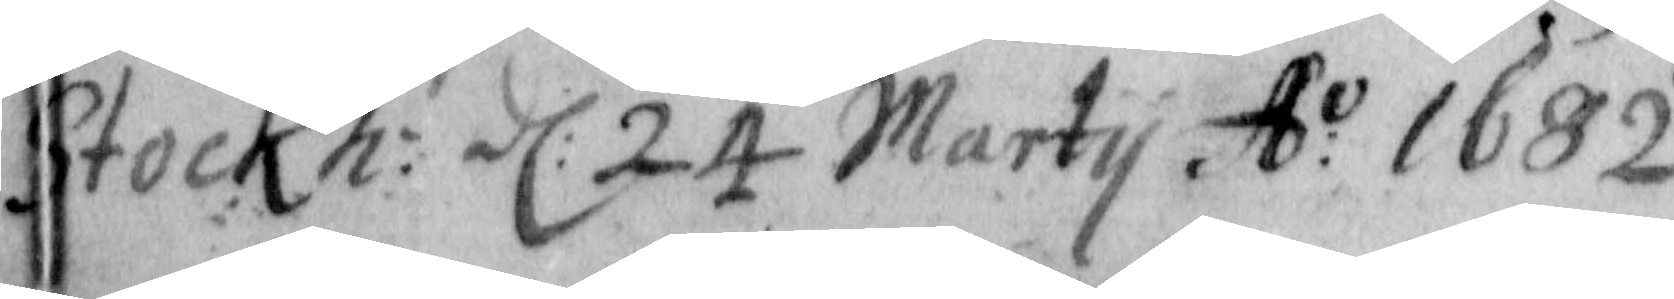Stockh: d: 24 Martij A:o 1682
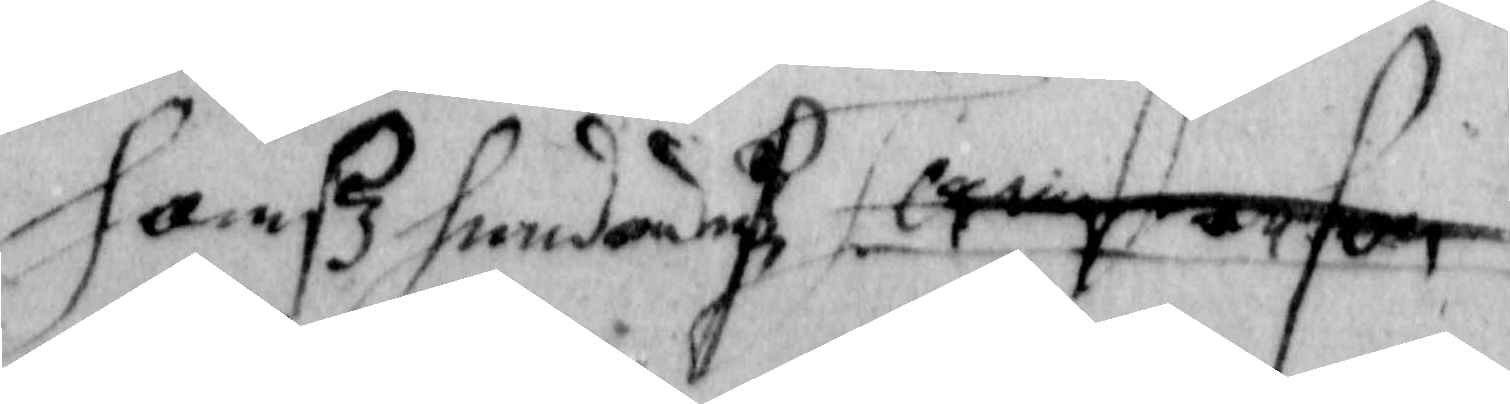Hansz Hend Torstenson
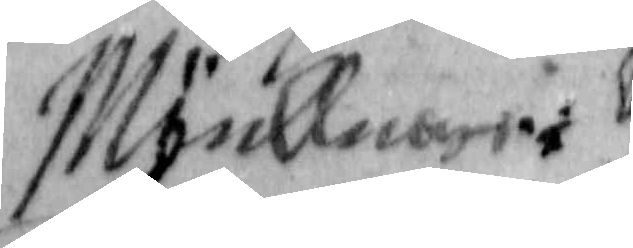Möellnare
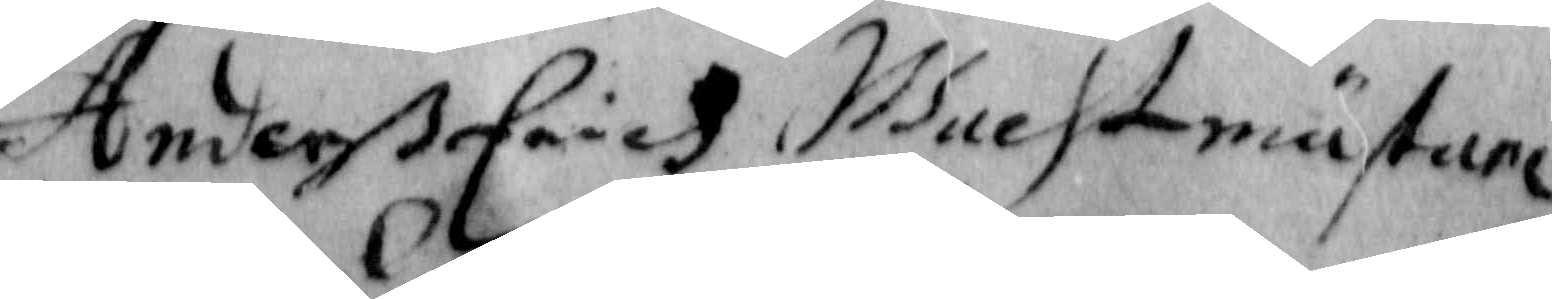Anderß Erich Wachtmästare
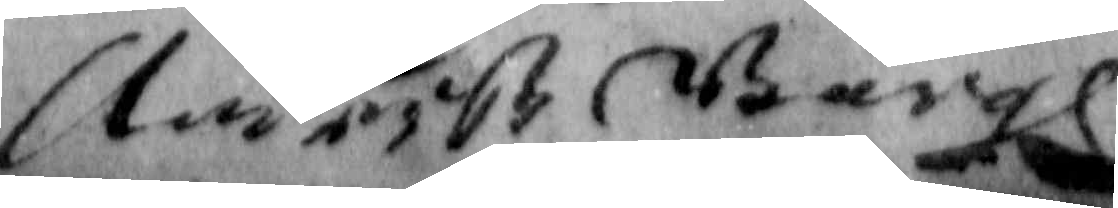Anderß Bärgh
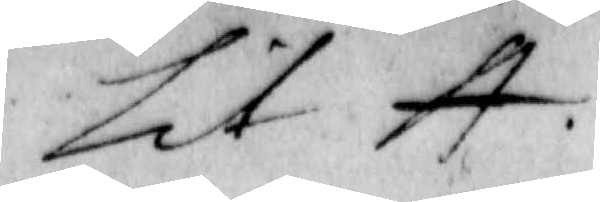Lit A.
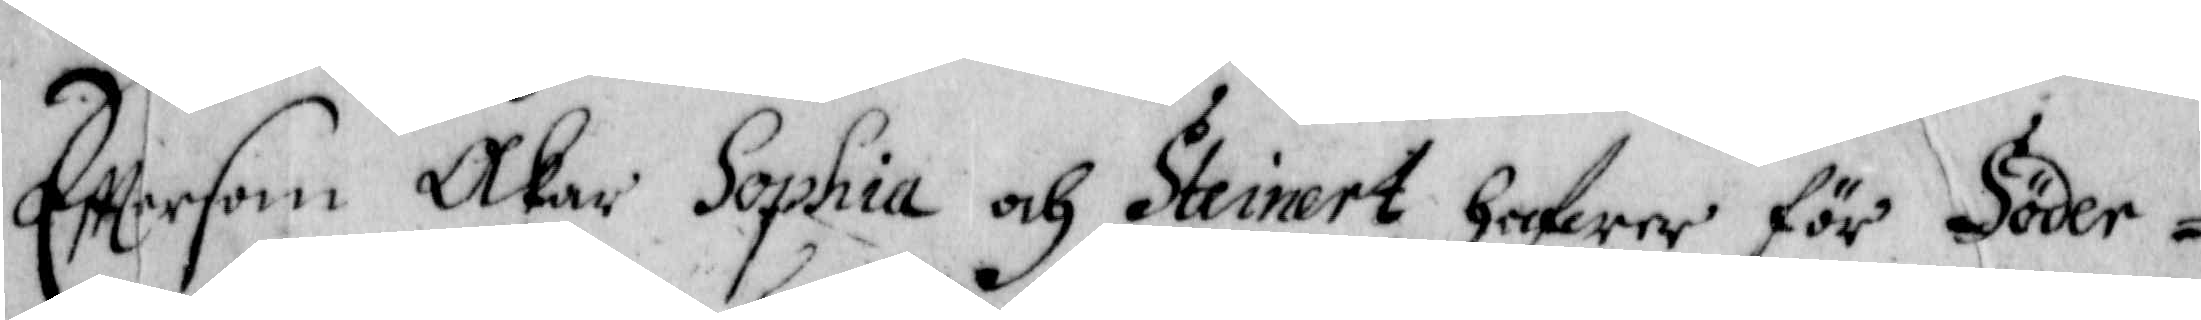Efftersom Åkar Sophia och Steinert hafwer för Söder¬
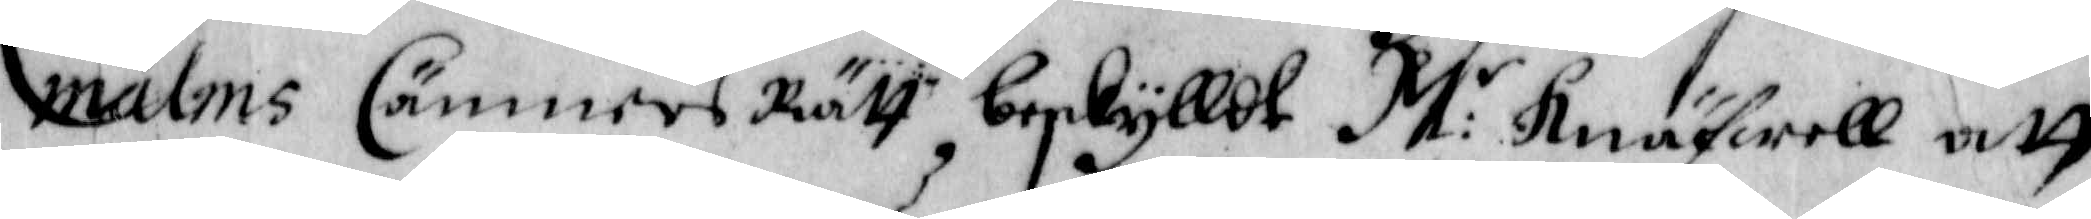malms Cämners Rätt beskylldt M:r Knäfwell att
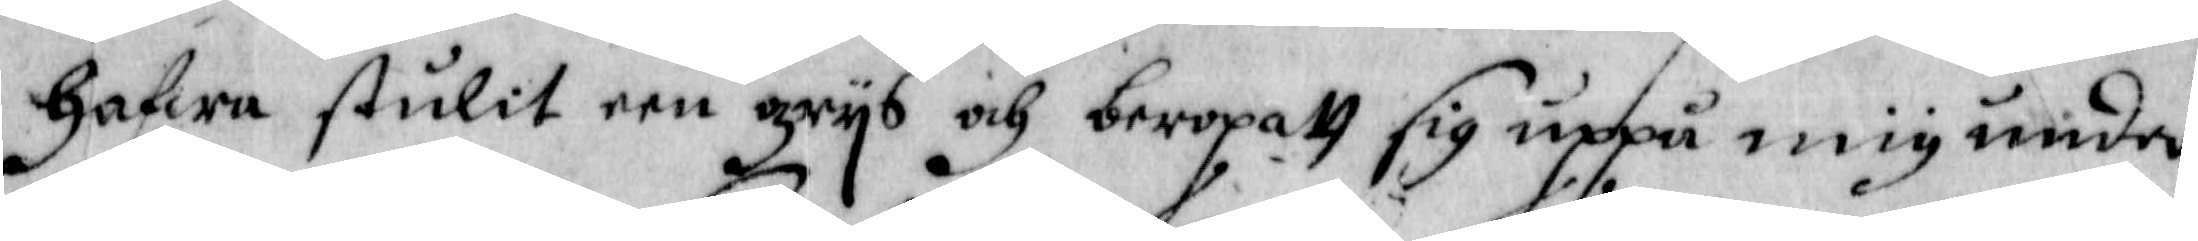hafwa stulit een grijs och beropatt sig uppå mig under
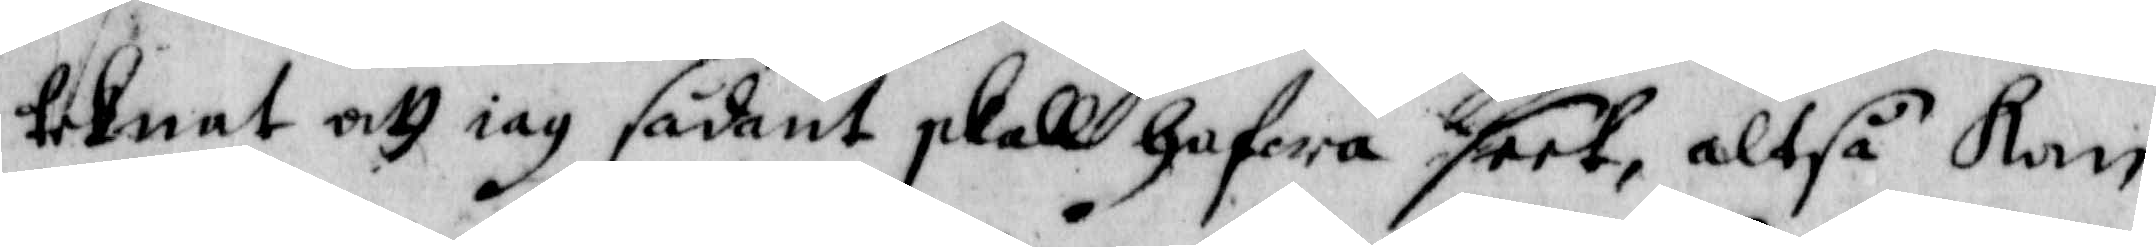teknat att iag sådant skall hafwa seet, altså Kan
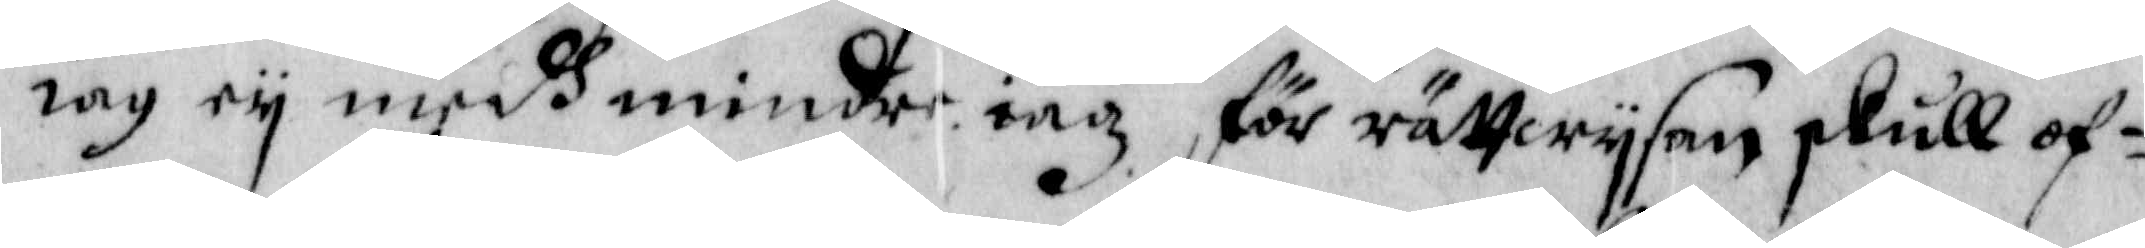iag eij medh mindre iag för rättwijsan skull of¬
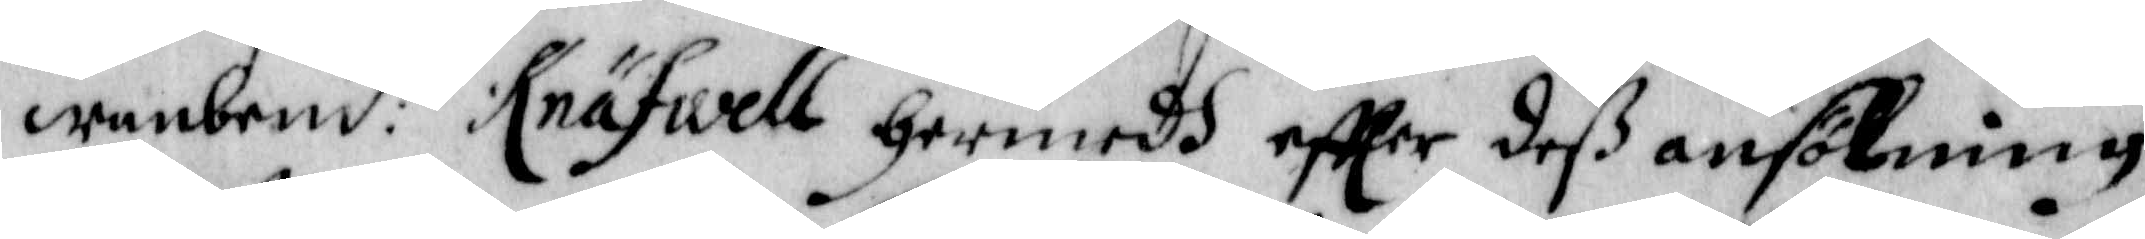wanbem:te Knäfwell hermedh effter deß ansökning
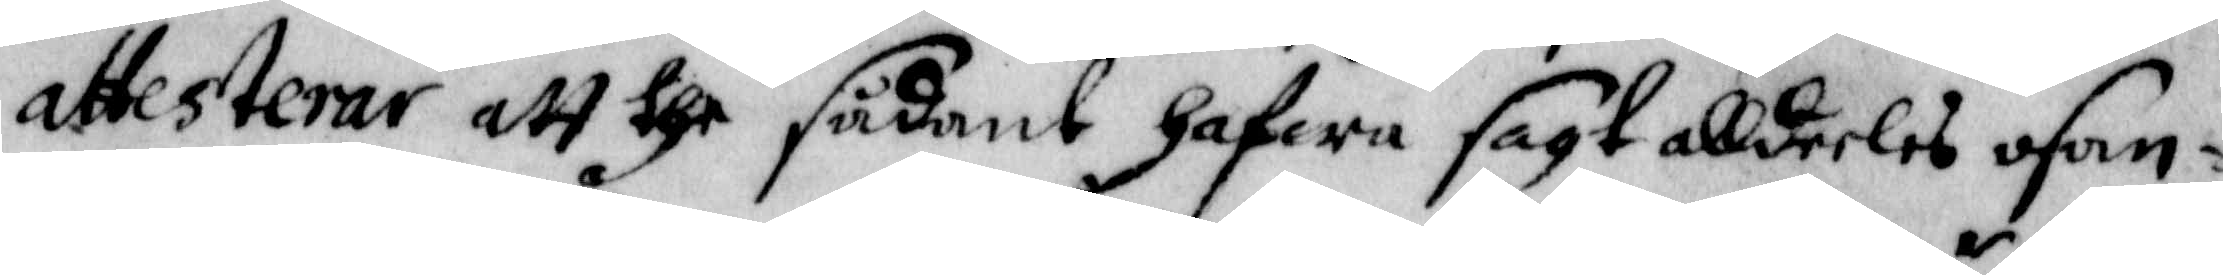attesterar att the sådant hafwa sagt alldeles osan¬
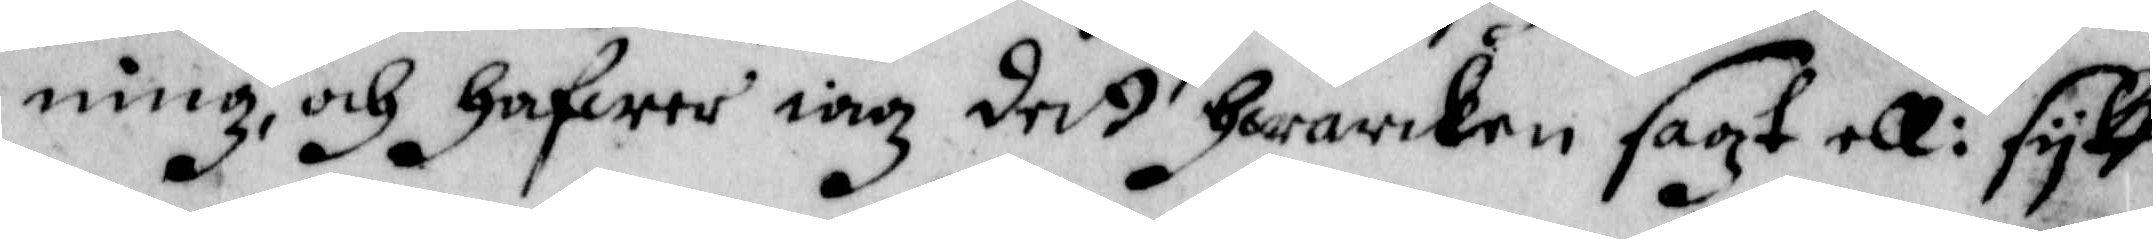ning, och hafwer iag dett hwarken sagt ell:r sijkt
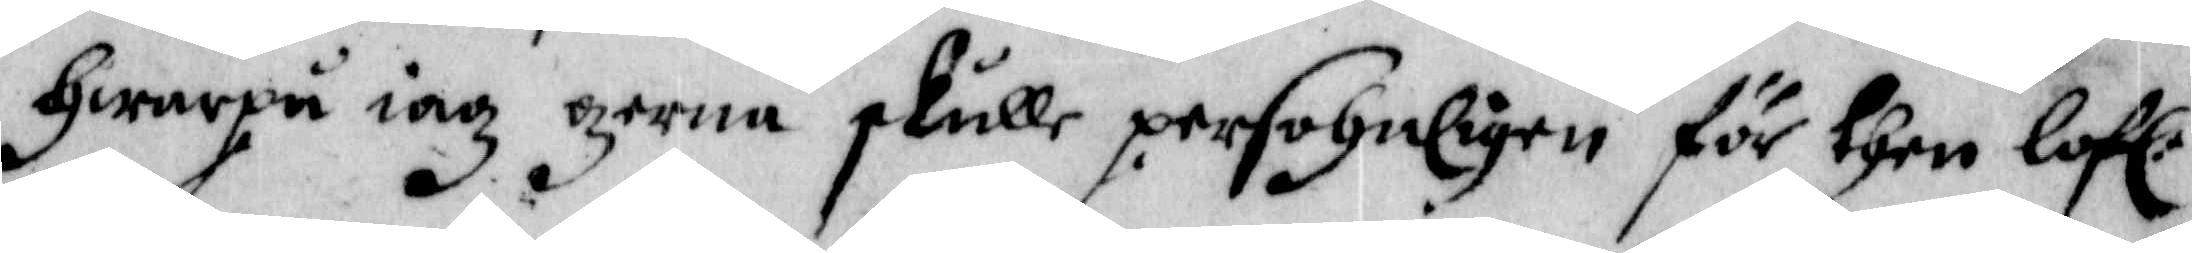hwarpå iag gerna skulle personligen för then lof:e
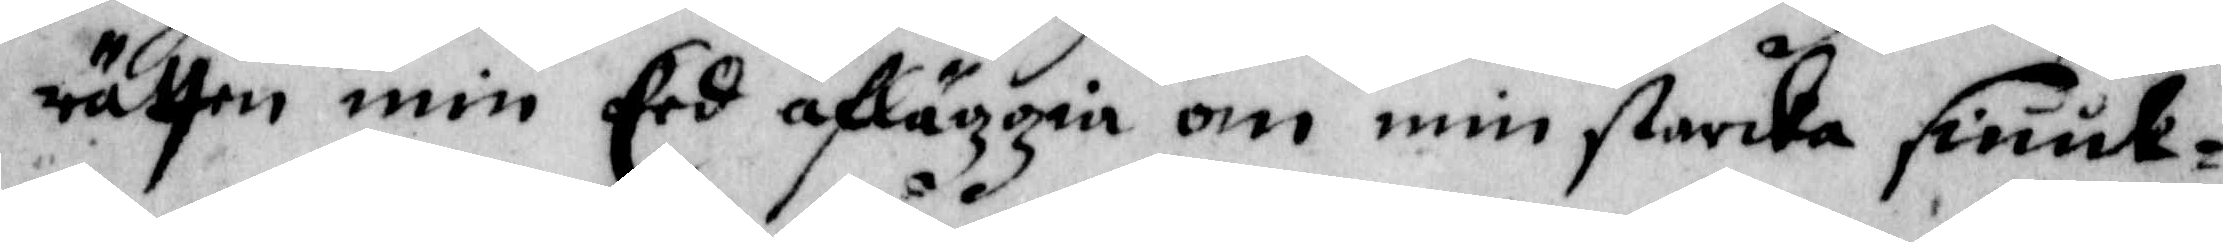rätten min Eed afläggia om min starcka siuuk¬
